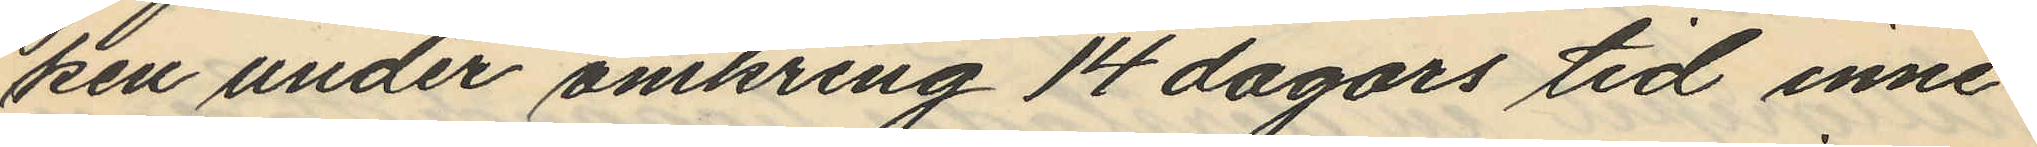ken under omkring 14 dagars tid inne¬
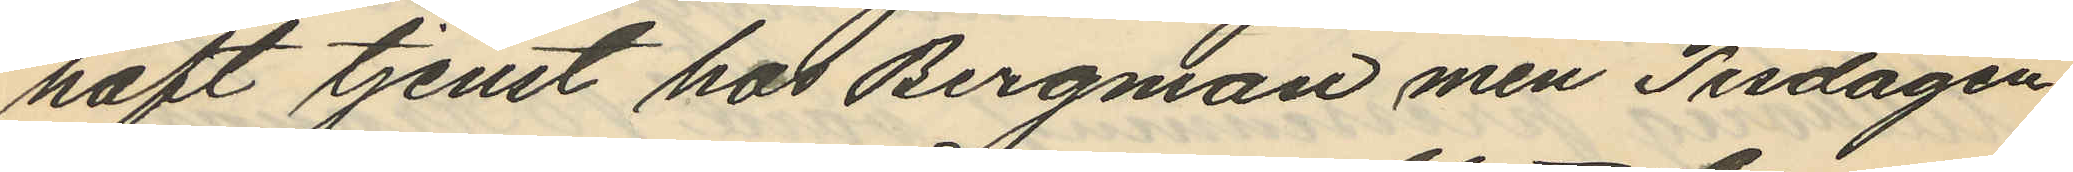haft tjenst hos Bergman men Tisdagen
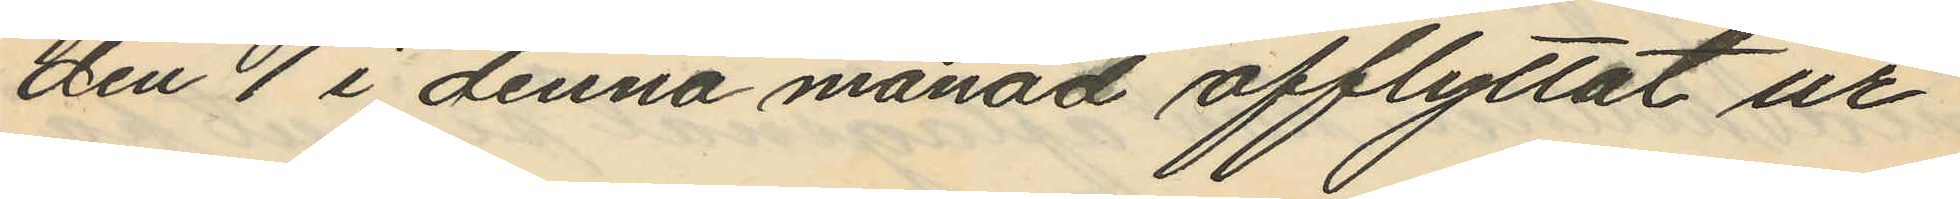den 1 i denna månad afflyttat ur
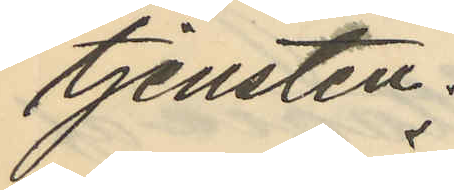tjensten.
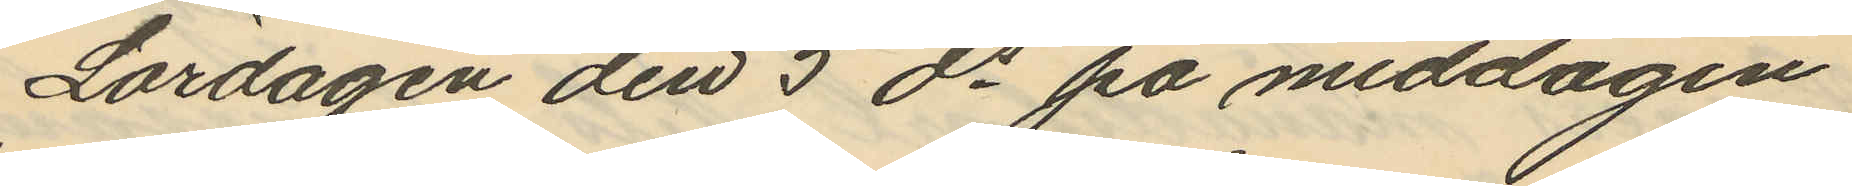Lördagen den 5 ds på middagen
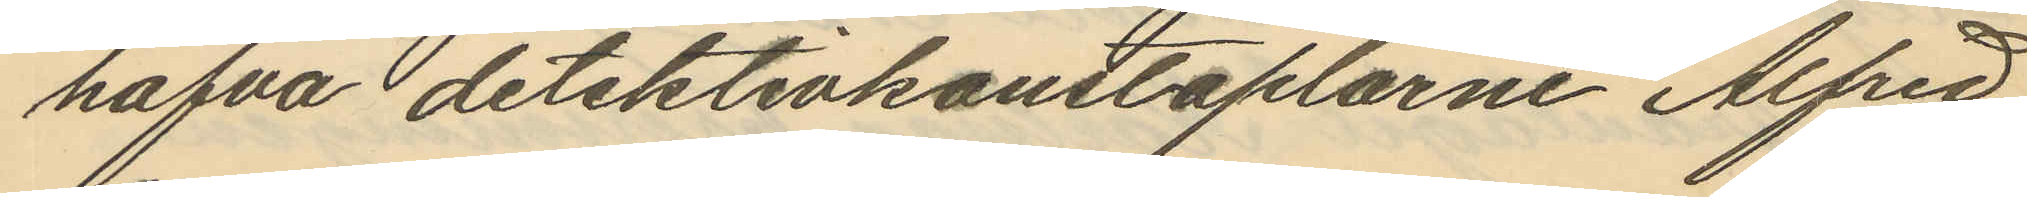hafva detektivkonstaplarne Alfred
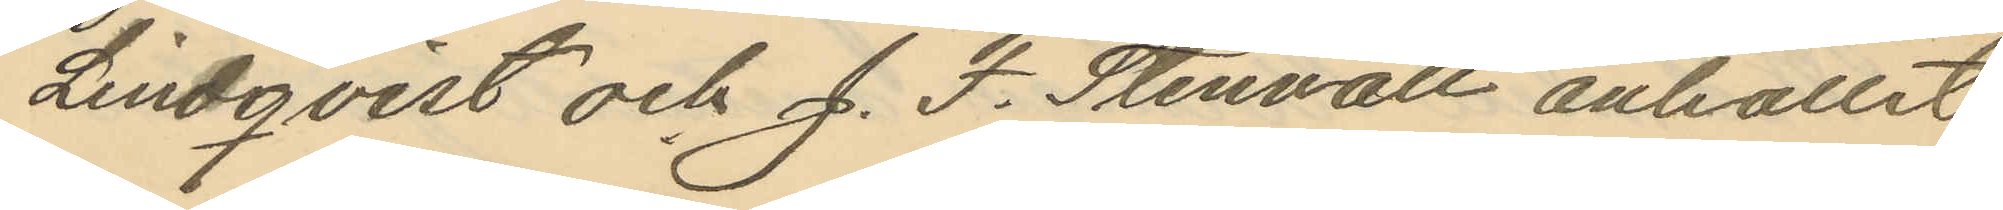Lindqvist och J. F. Stenvall anhållit
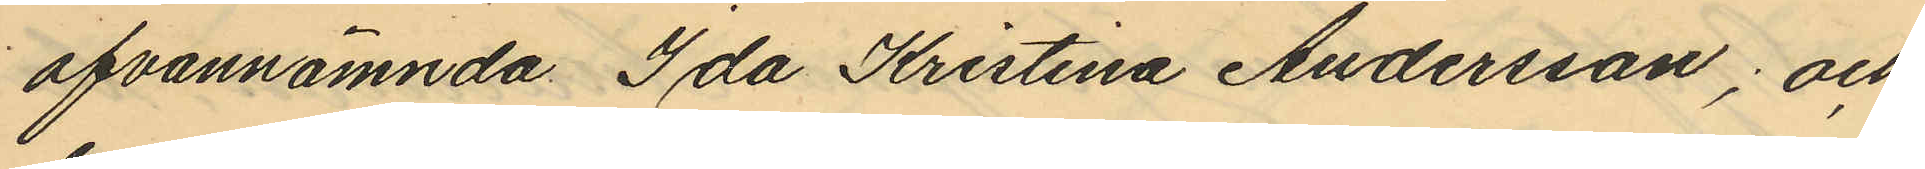ofvannämnda Ida Kristina Andersson; och
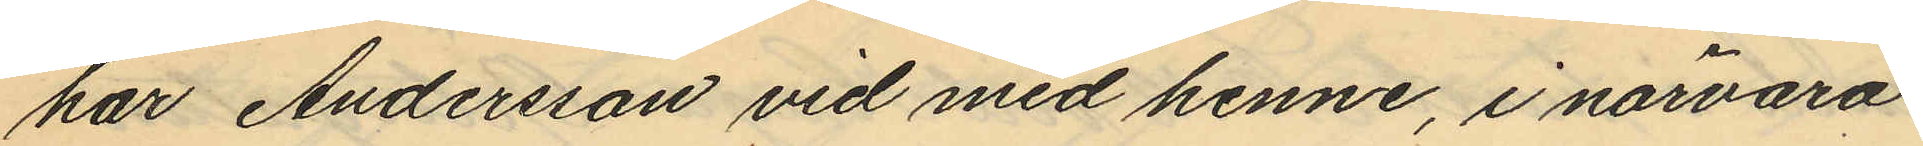har Andersson vid med henne, i närvaro
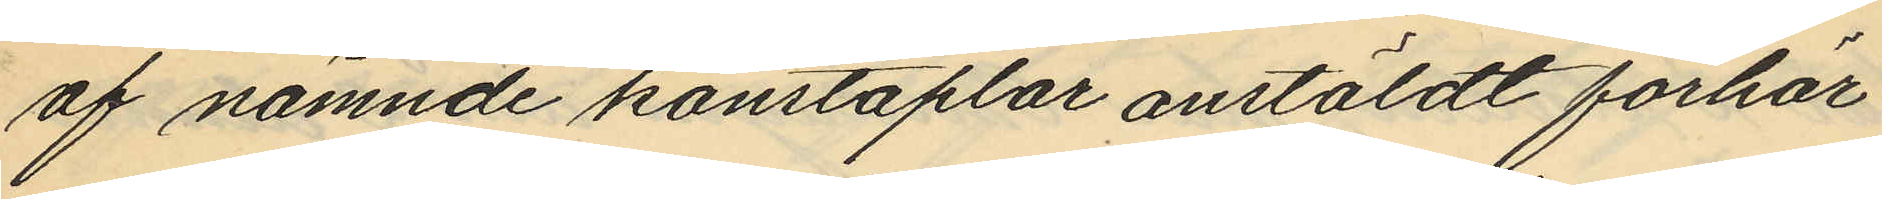af nämnde konstaplar anstäldt förhör
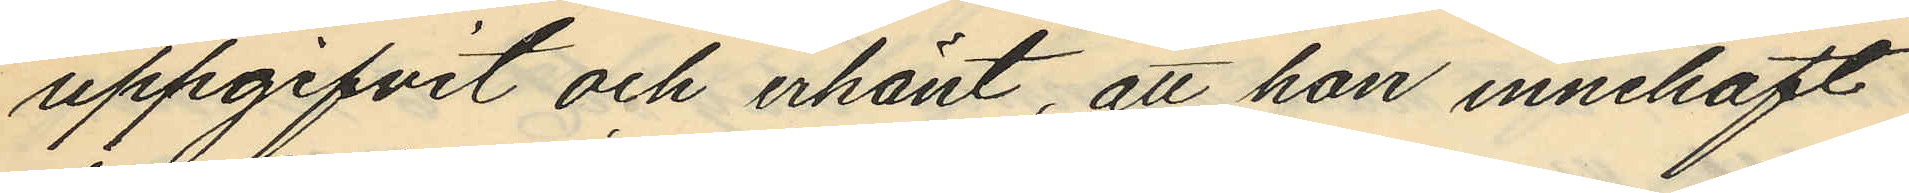uppgifvit och erkänt, att hon innehaft
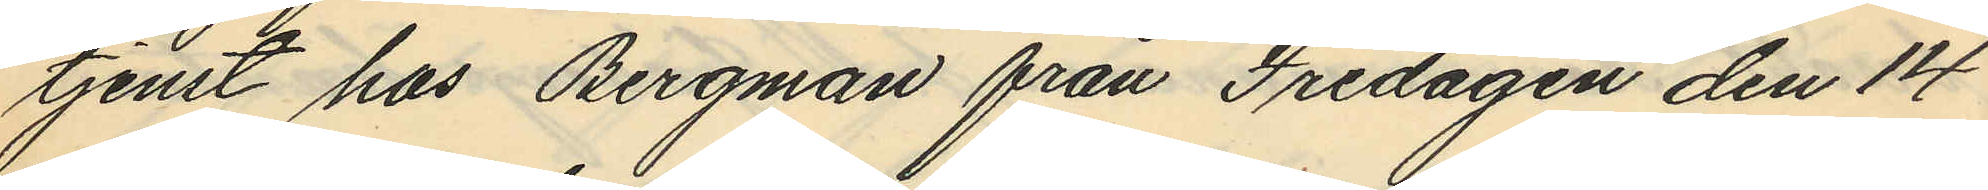tjenst hos Bergman från Fredagen den 14
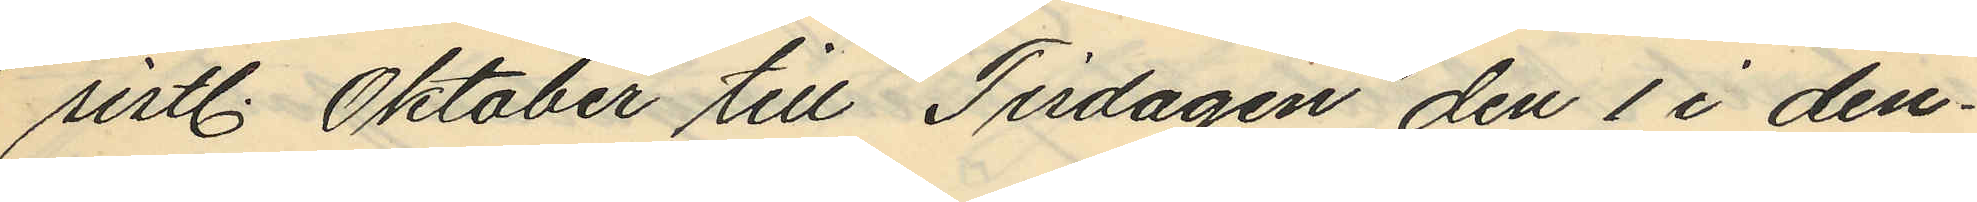sistl. Oktober till Tisdagen den 1 i den¬
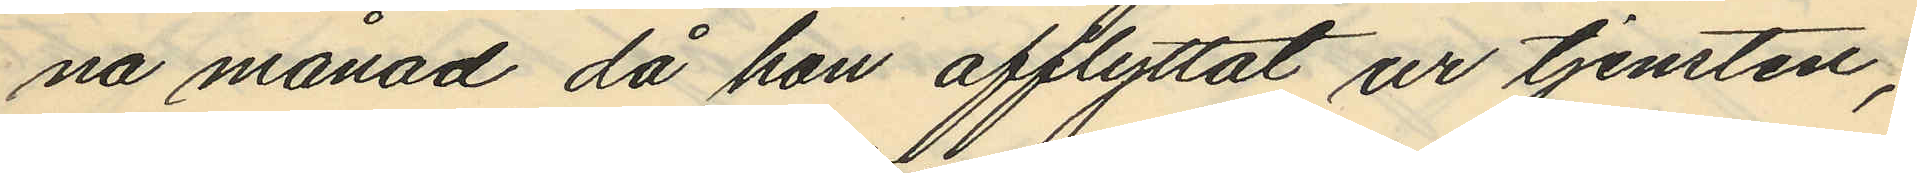na månad då hon afflyttat ur tjensten,
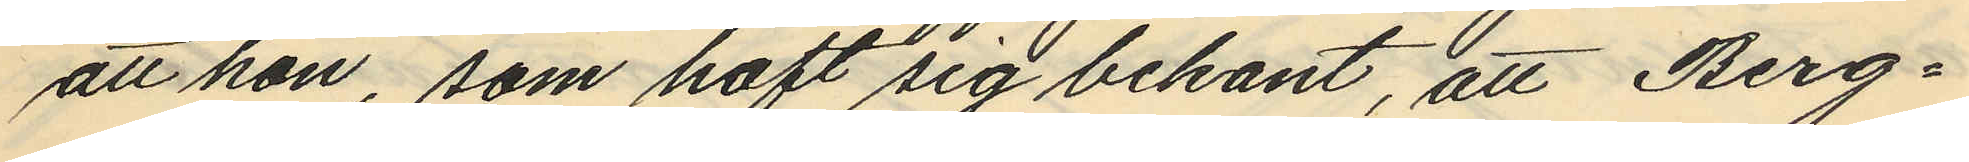att hon, som haft sig bekant, att Berg¬
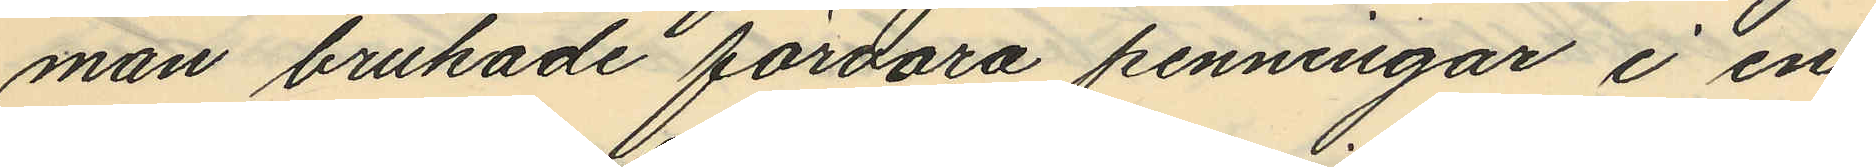man brukade förvara penningar i en
